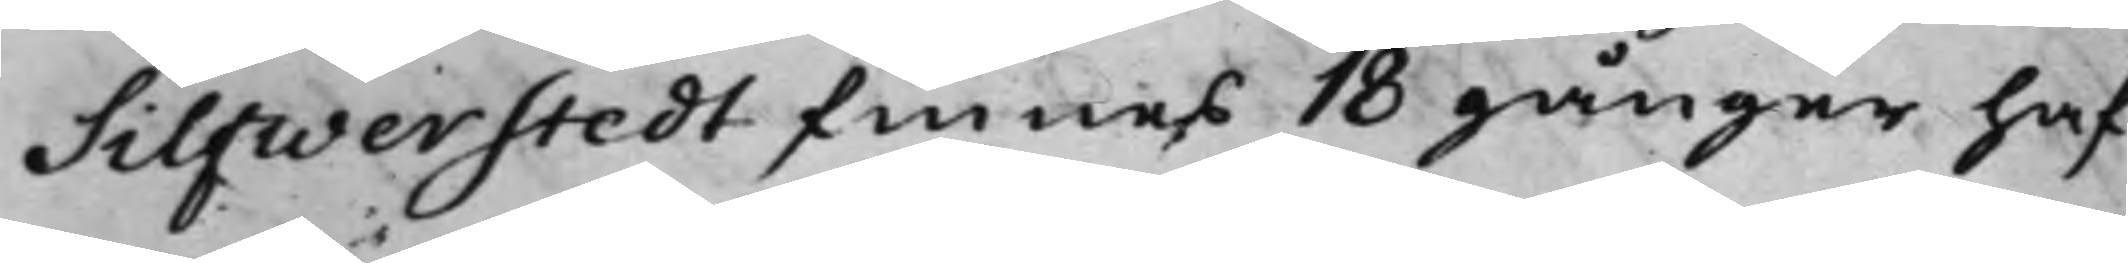Silfwerstedt finnes 18 gånger haf¬
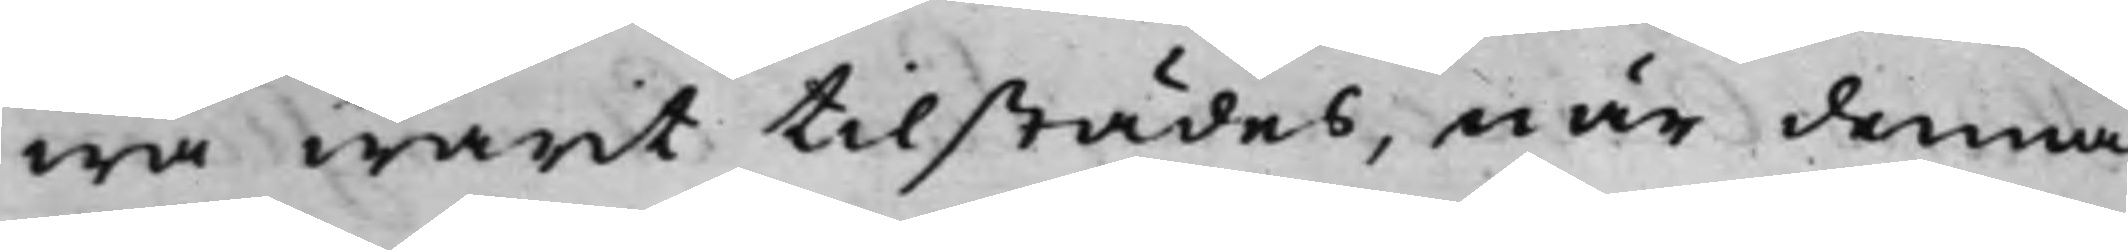wa warit tillstädes, när denna
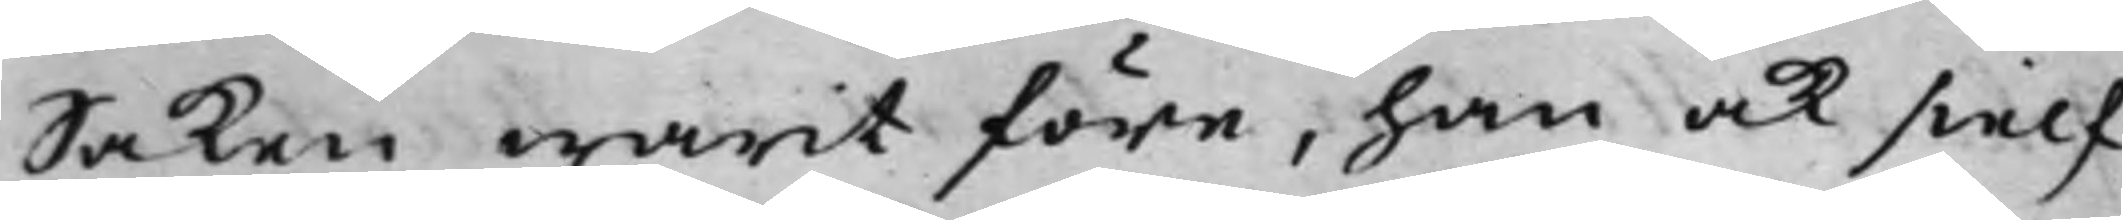Saken warit före, han ock sielf
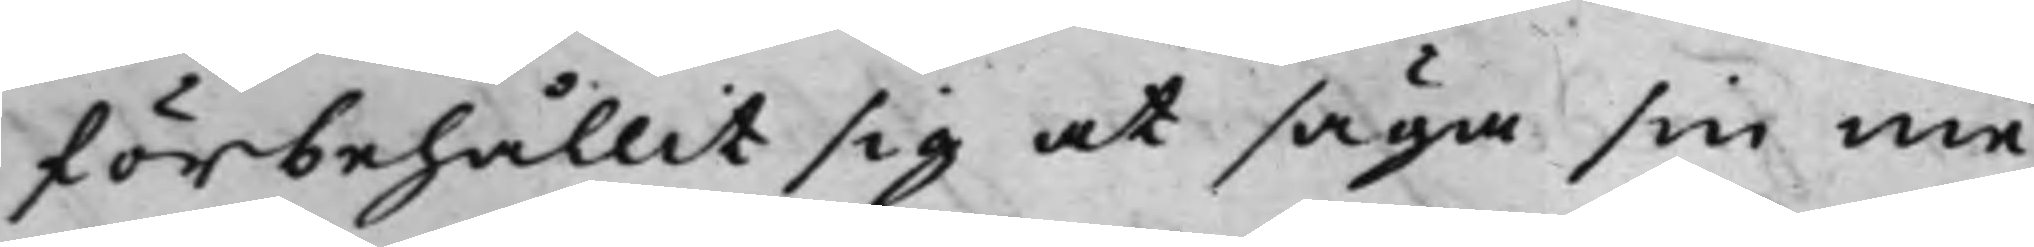förbehållit sig at säga sin me¬
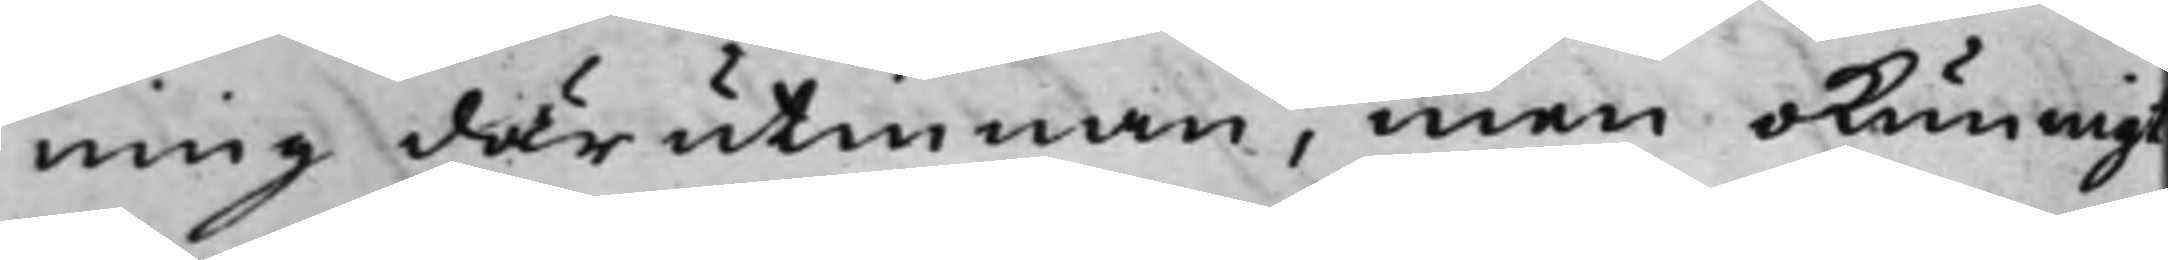ning därutinnan, men okunnigt
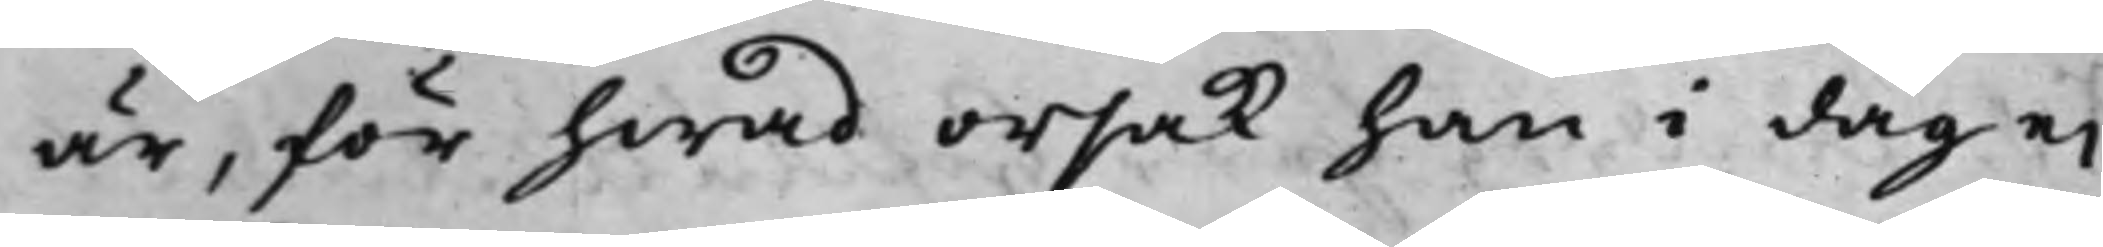är, för hwad orsak han i dag ei
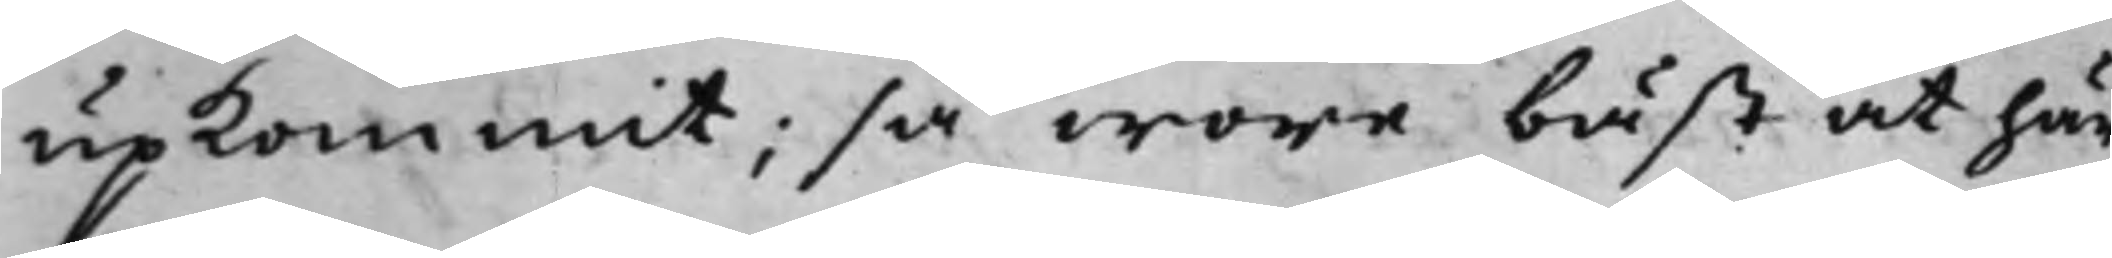upkommit; så wore bäst at här¬
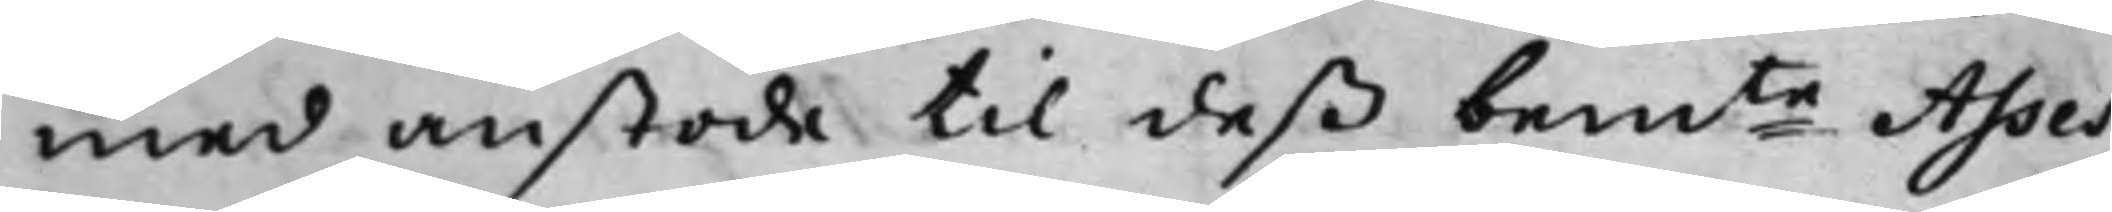med anstoda til deß bemte Asses¬
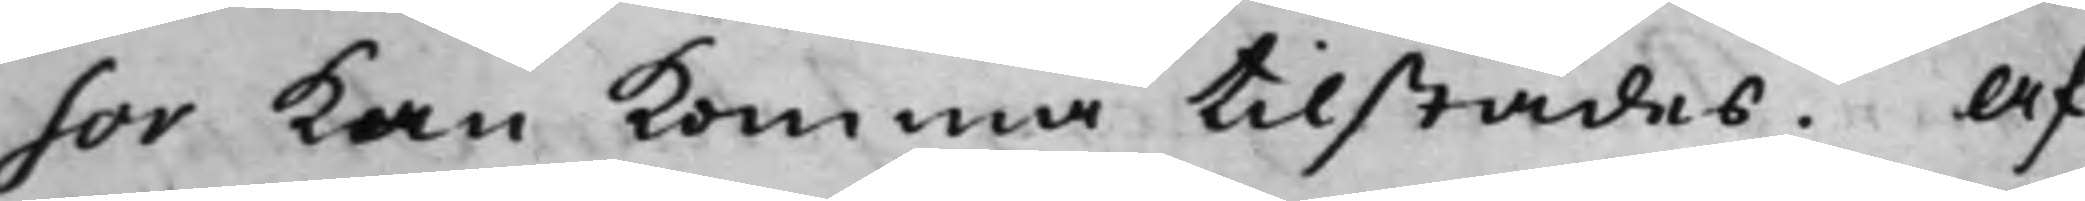sor kan komma tillstädes. Af
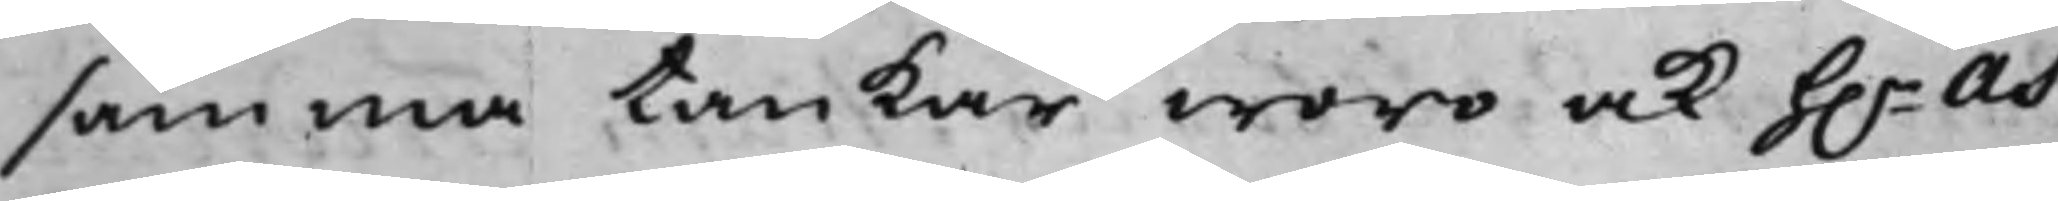samma tankar woro ock h.r As¬
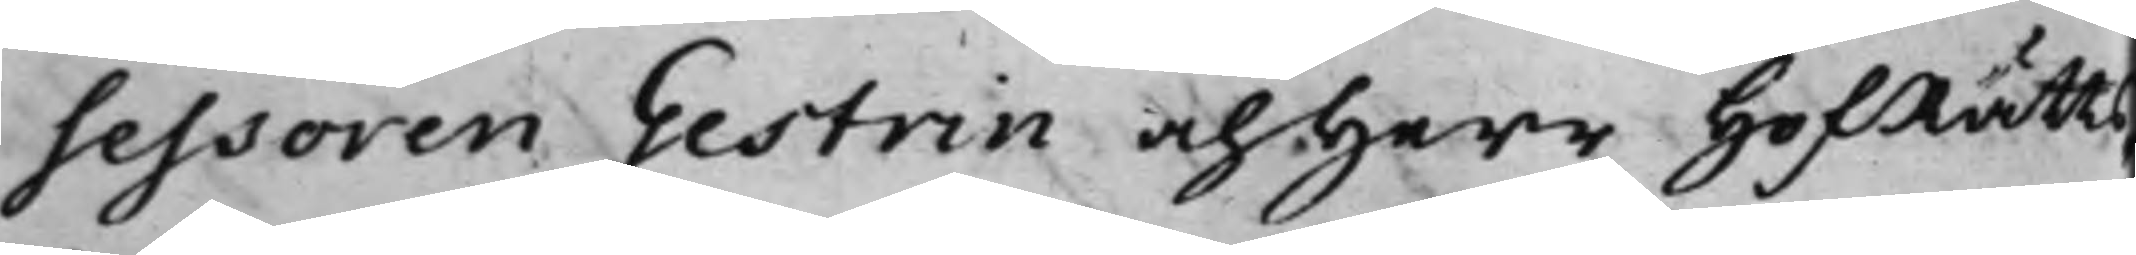sessoren Gestrin och Herr HofRätts¬
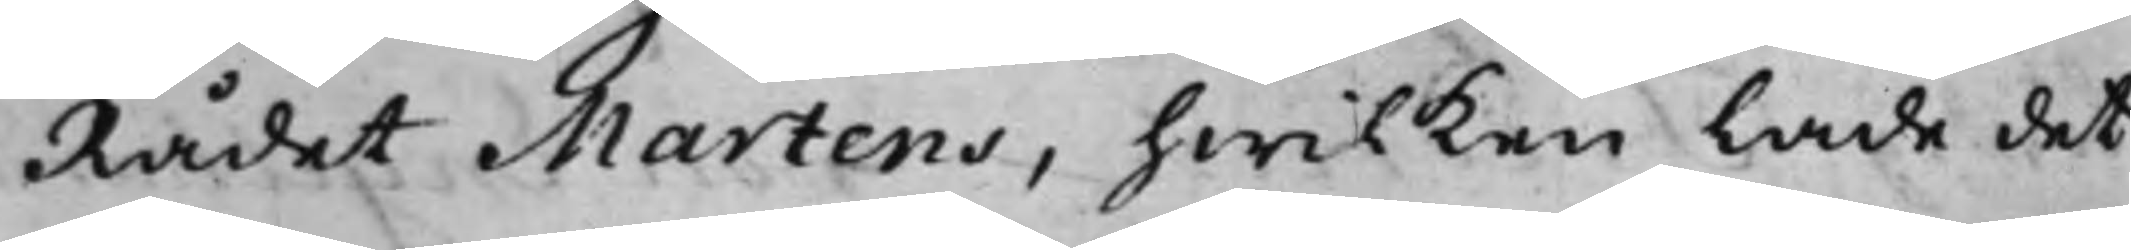Rådet Martens, hwilken lade det
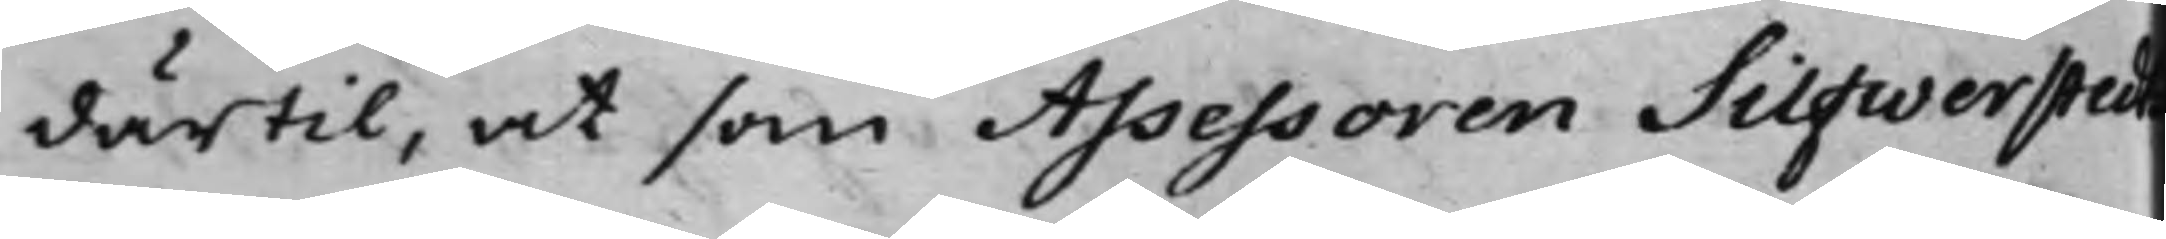därtill, at som Assessoren Silfwerstedt
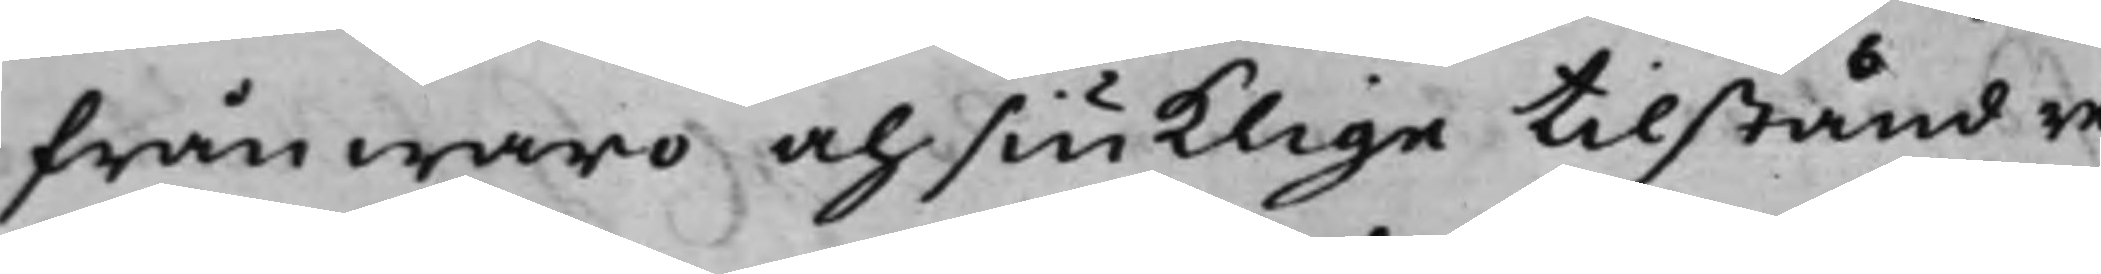frånwaro och siuklige tilstånd re¬
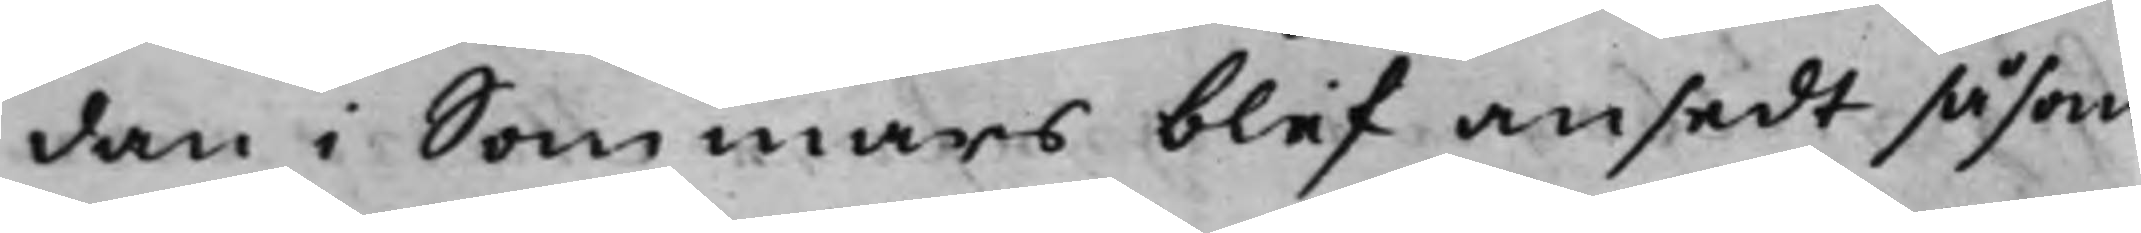dan i Sommars blef ansedt såsom
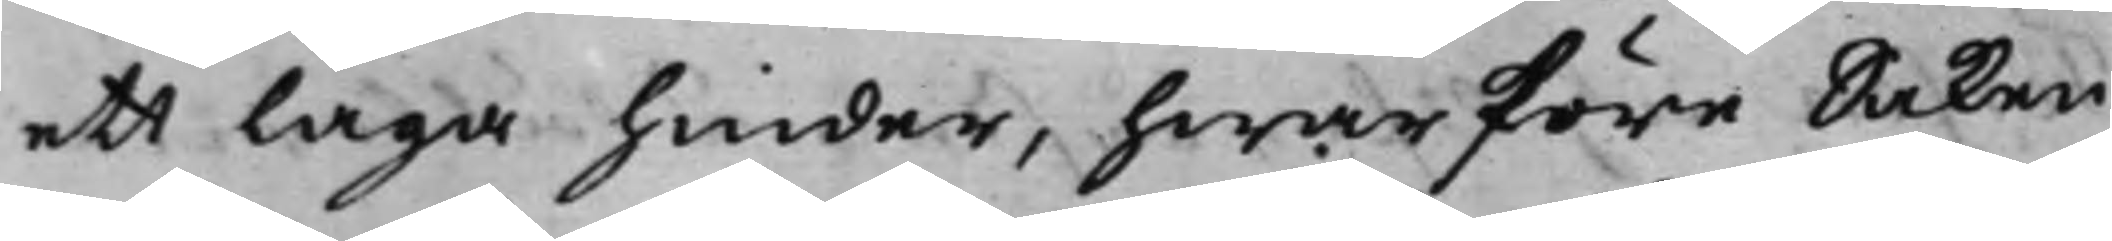ett laga hinder, hwarföre Saken
